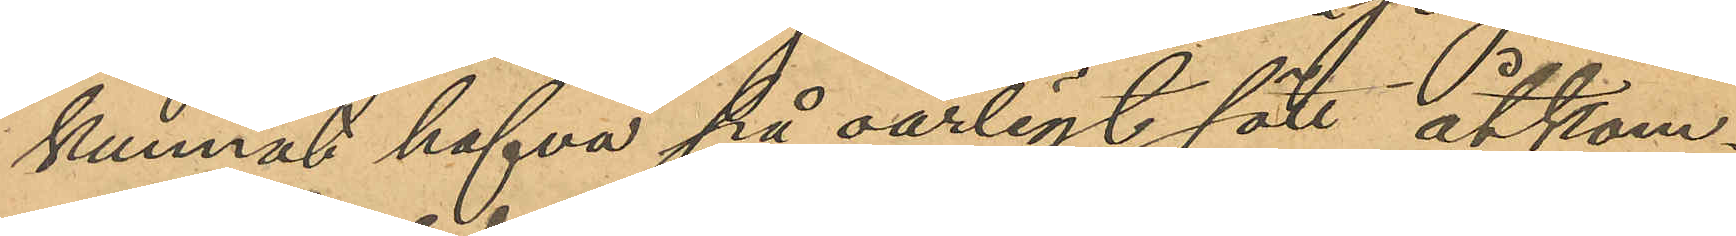kunnat hafva på oärligt sätt åtkom¬
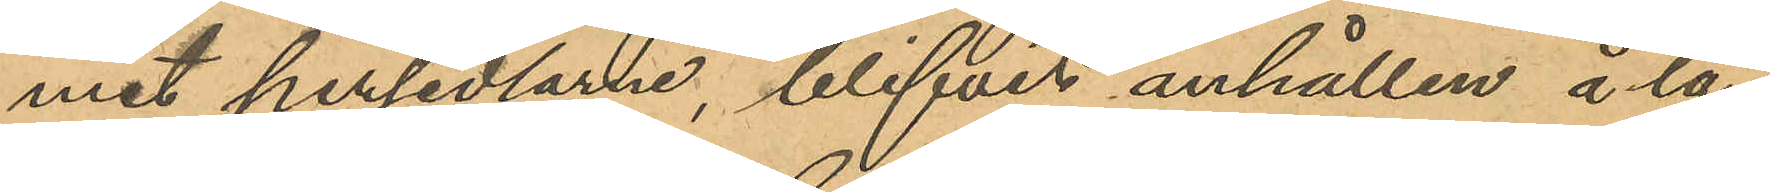mit persedlarne, blifvit anhållen å lå¬
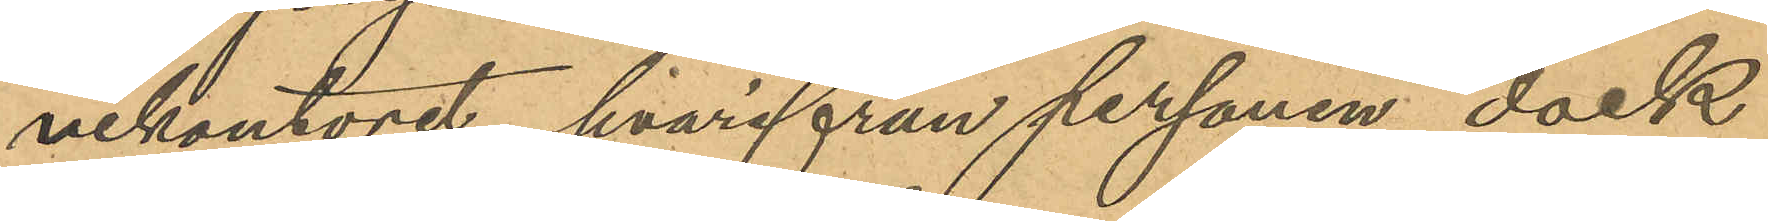nekontoret, hvarifrån personen dock
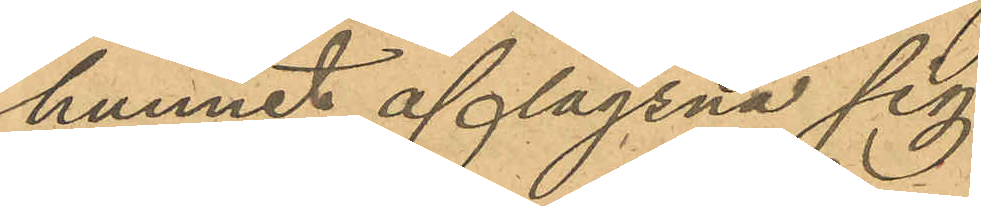hunnit aflägsna sig.
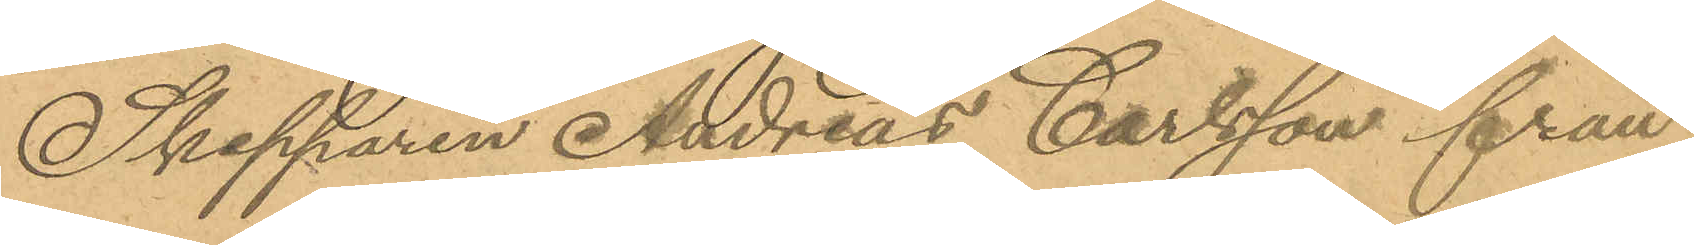Skepparen Andreas Carlsson från
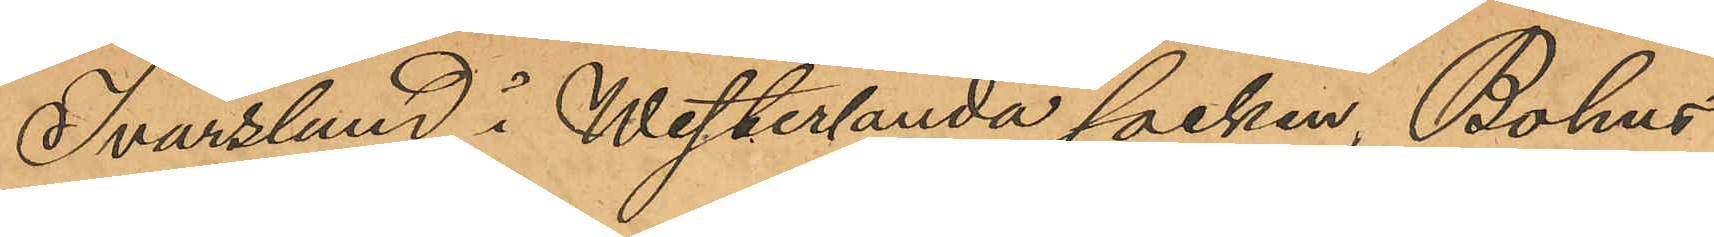Ivarslund i Westerlanda socken, Bohus
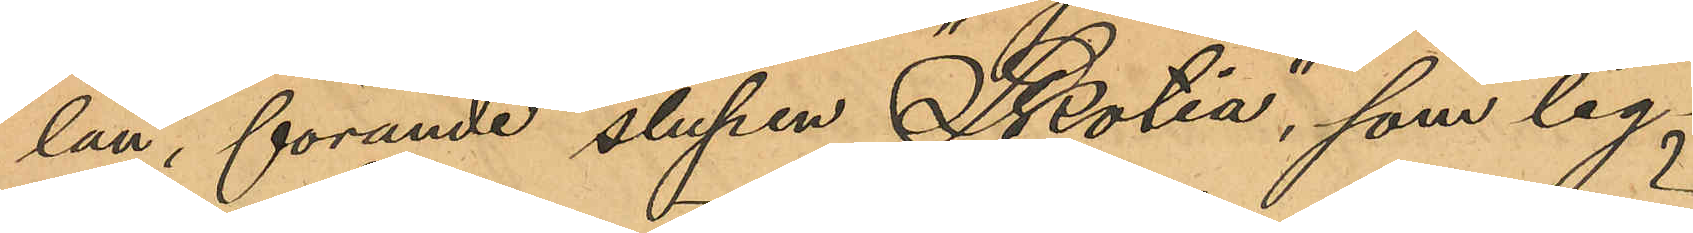län, förande slupen "Skotia", som lig¬
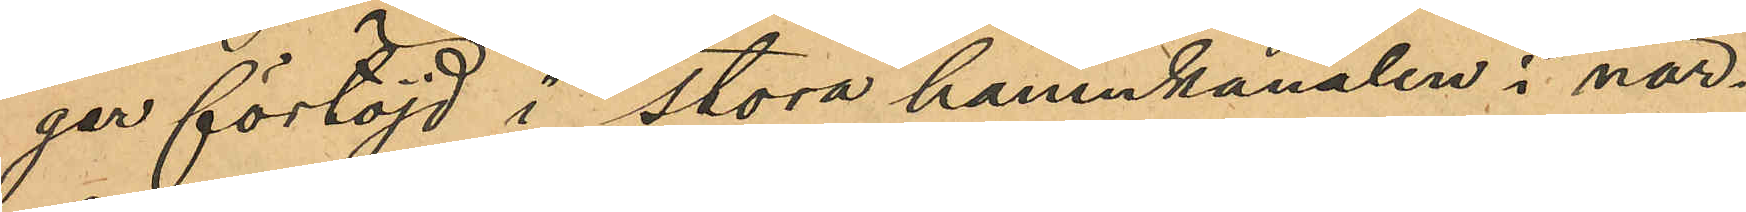ger förtöjd i stora hamnkanalen i när¬
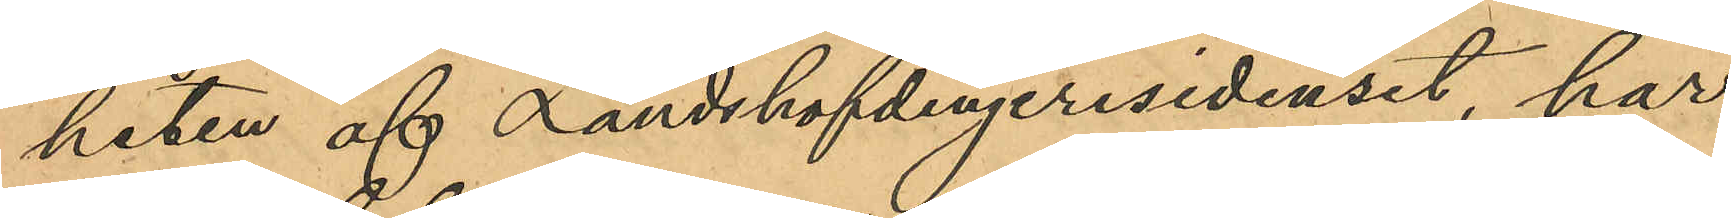heten af Landshöfdingeresidenset, har
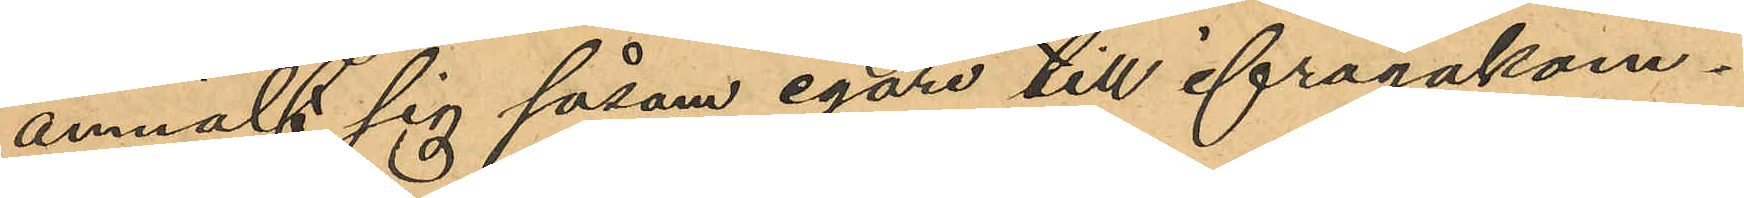anmält sig såsom egare till ifrågakom¬
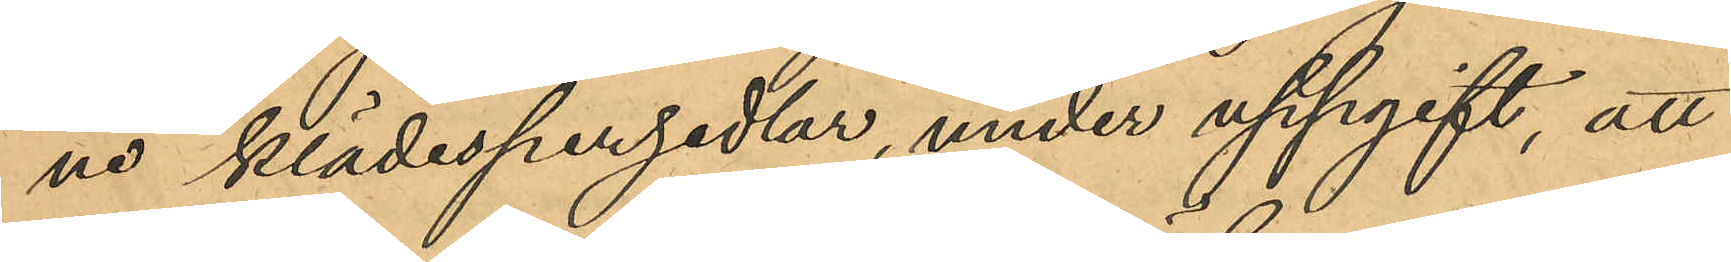ne klädespersedlar, under uppgift, att
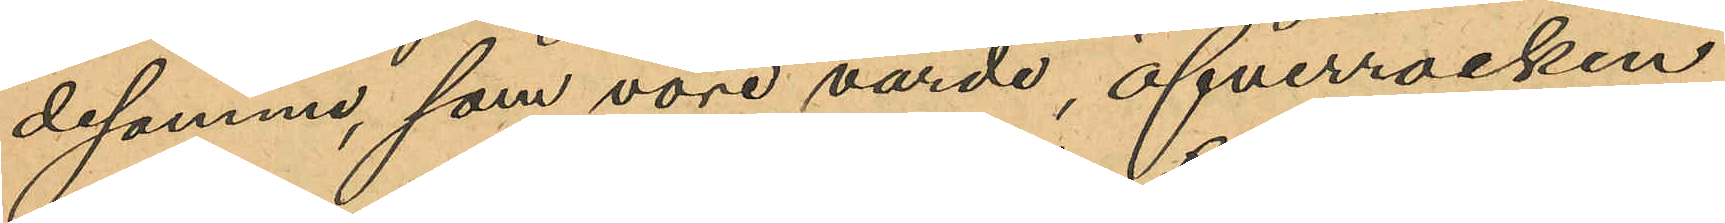desamma, som vore värde, öfverrocken
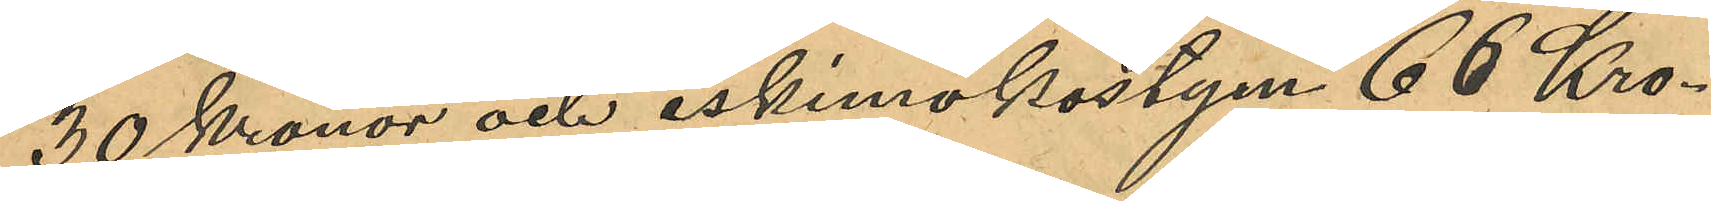30 Kronor och eskimokostym 66 Kro¬
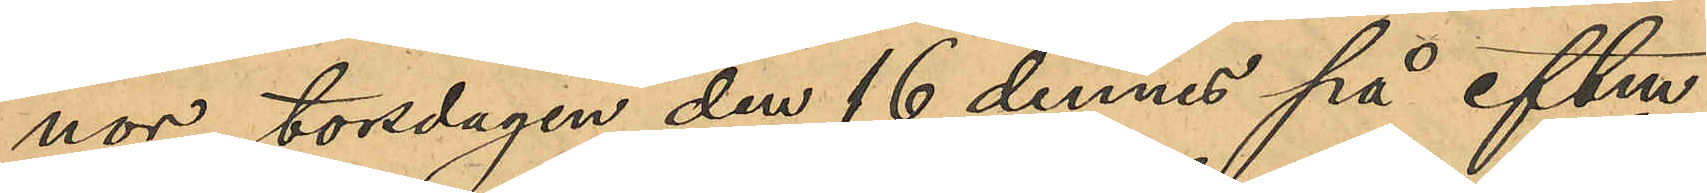nor, torsdagen den 16 dennes på eftm
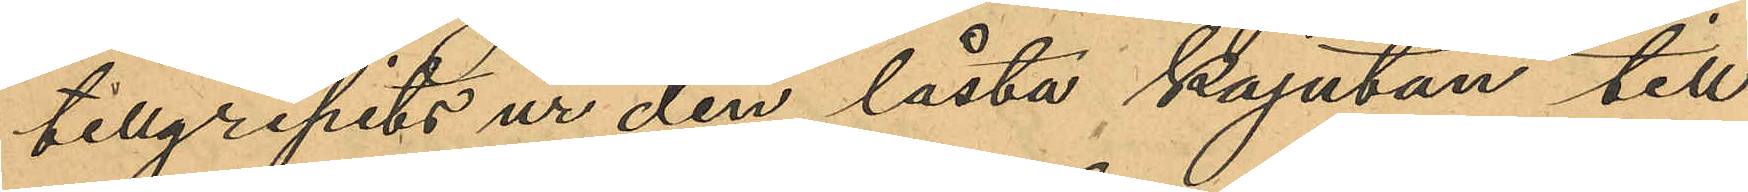tillgripits ur den låsta kajutan till
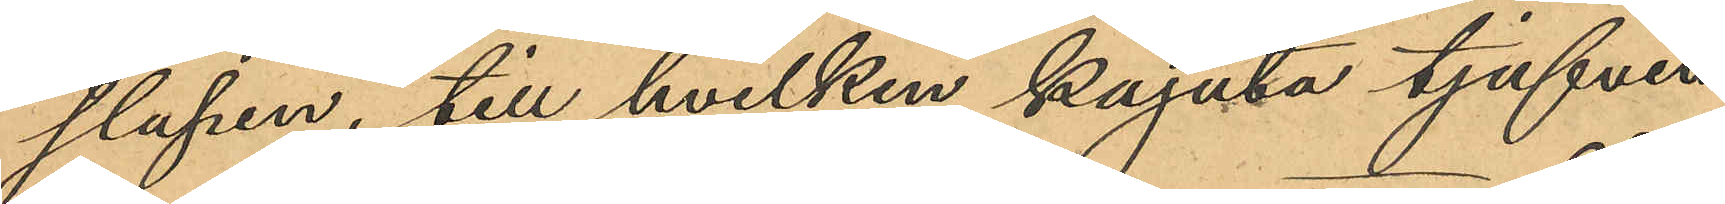slupen, till hvilken kajuta tjufven
